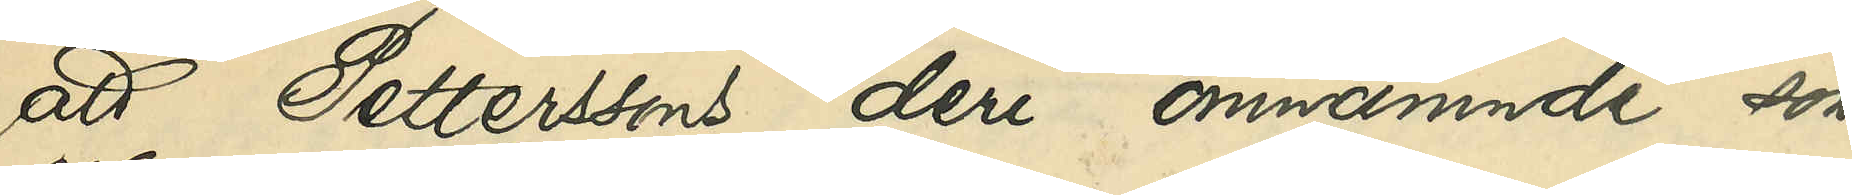att Petterssons deri omnämnde son
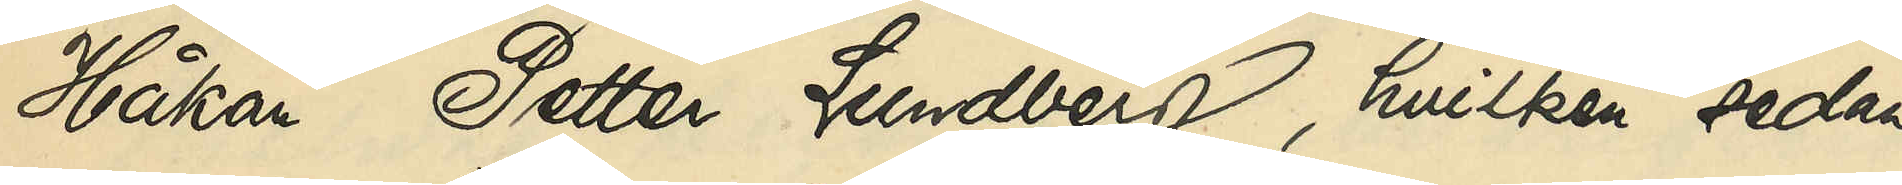Håkan Petter Lundberg, hvilken sedan
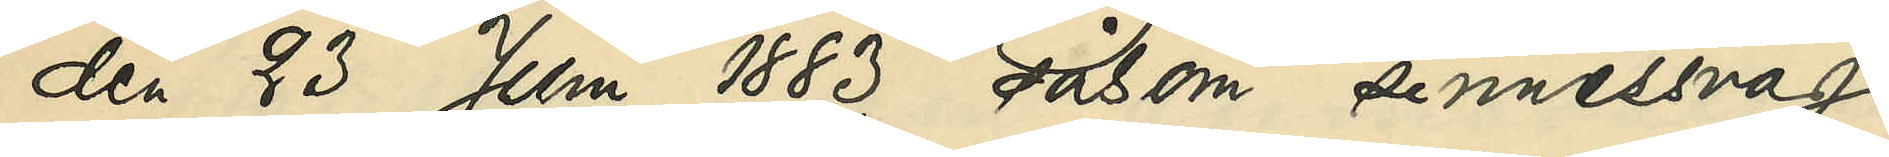den 23 Juni 1883 såsom sinnessvag
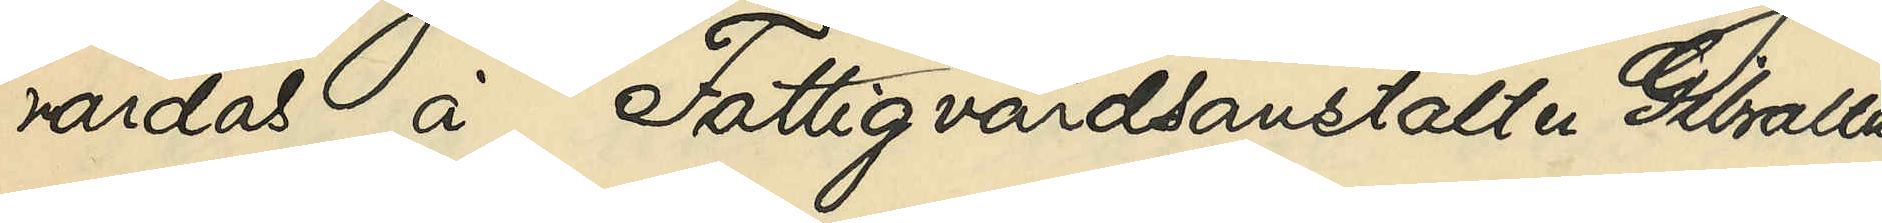vårdas å Fattigvårdsanstalten Gibraltar,
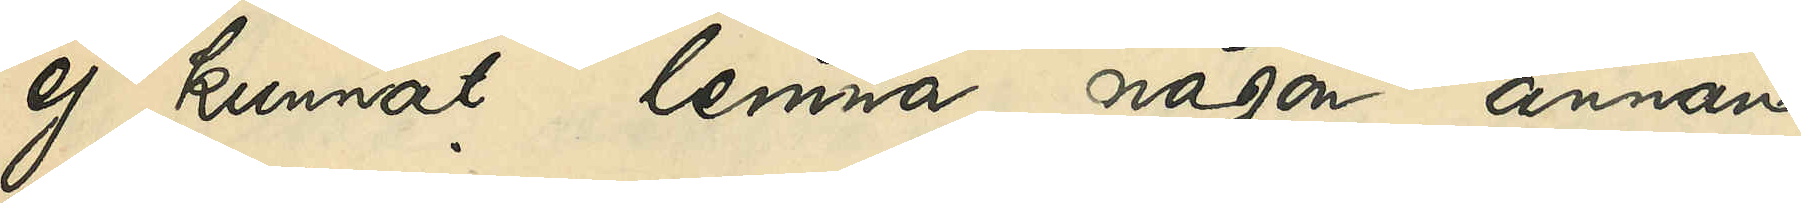ej kunnat lemna någon annan
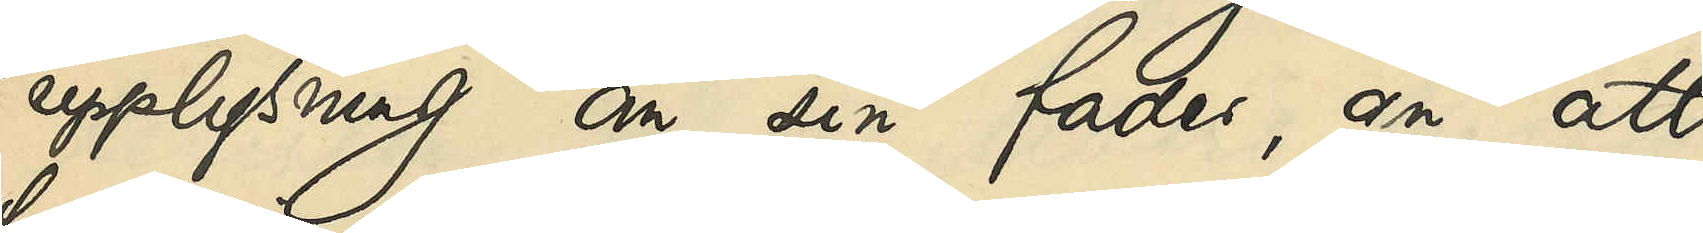upplysning om sin fader, än att
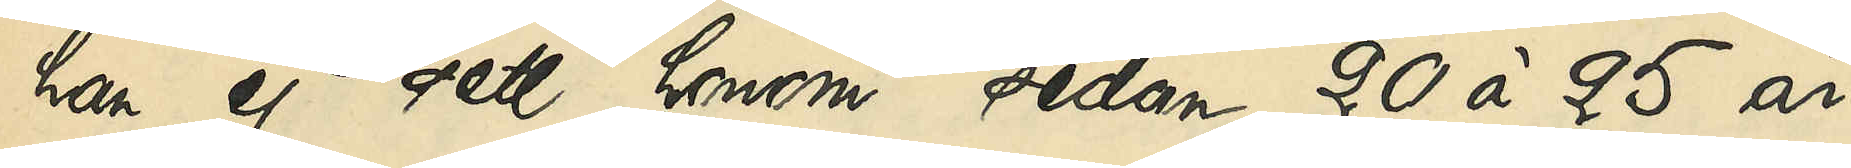han ej sett honom sedan 20 à 25 år
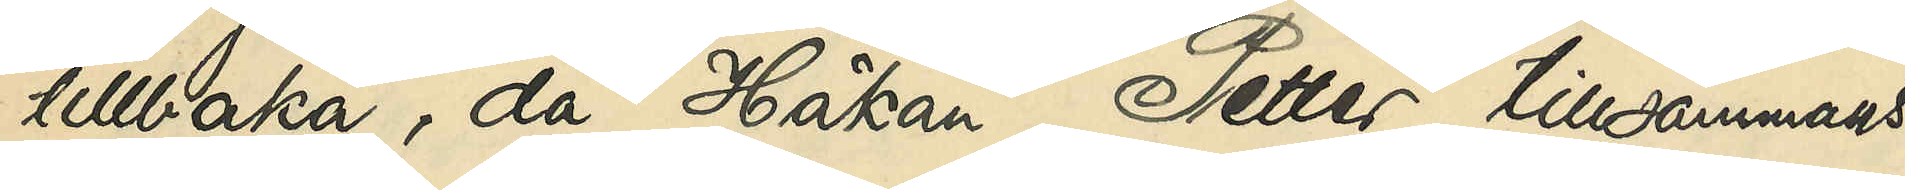tillbaka, då Håkan Petter tillsammans
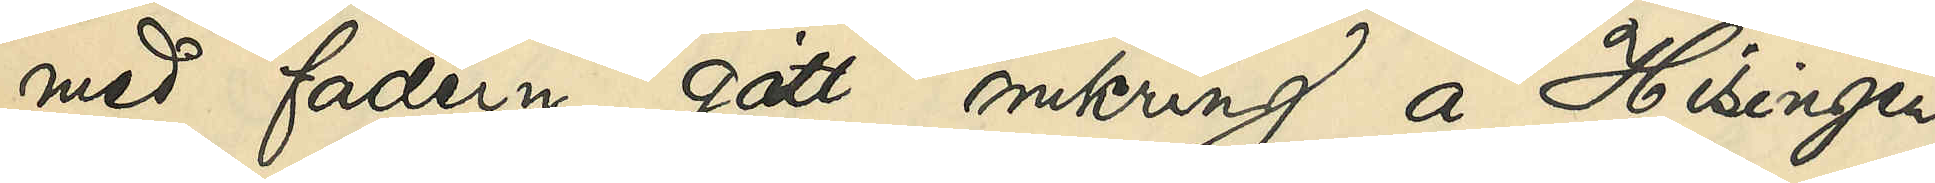med fadern gått omkring å Hisingen
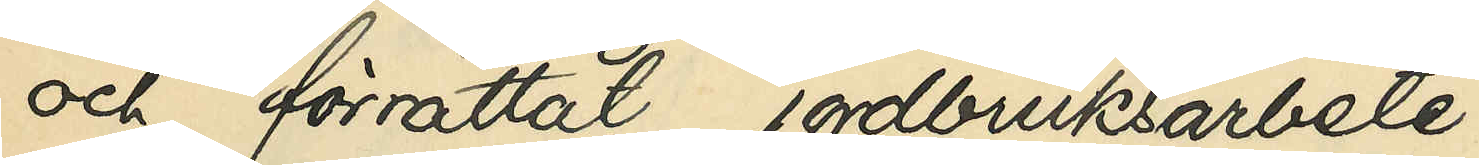och förrättat jordbruksarbete.
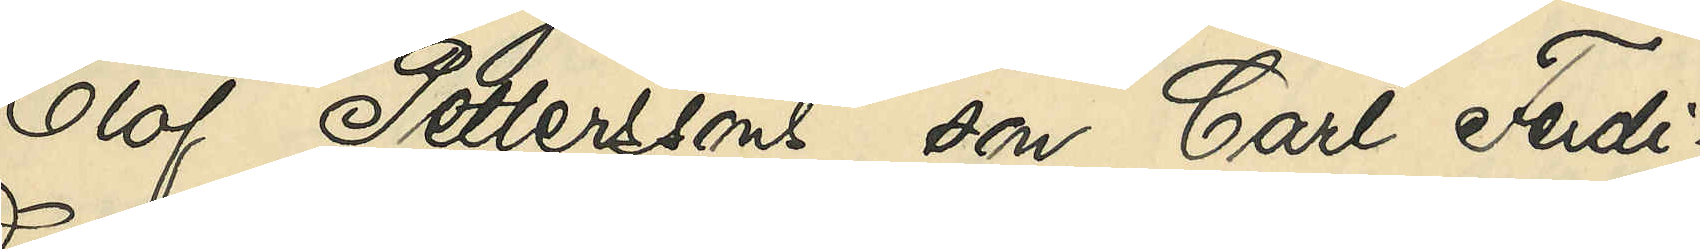Olof Petterssons son Carl Ferdi¬
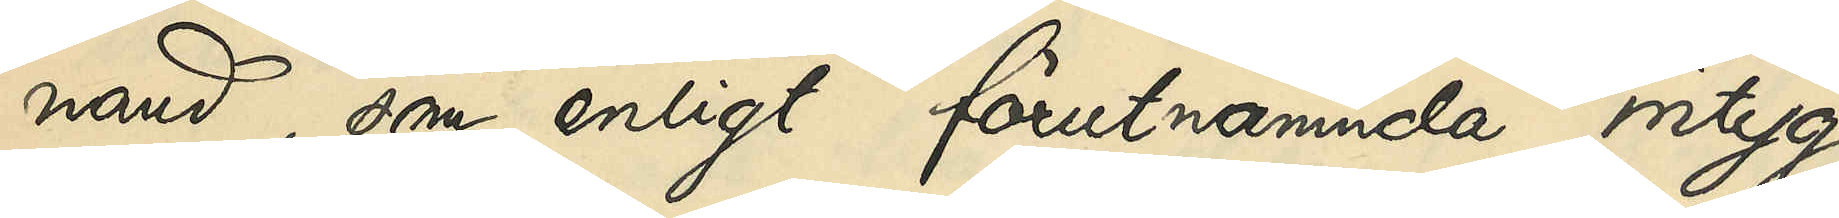nand, som enligt förutnämnda intyg
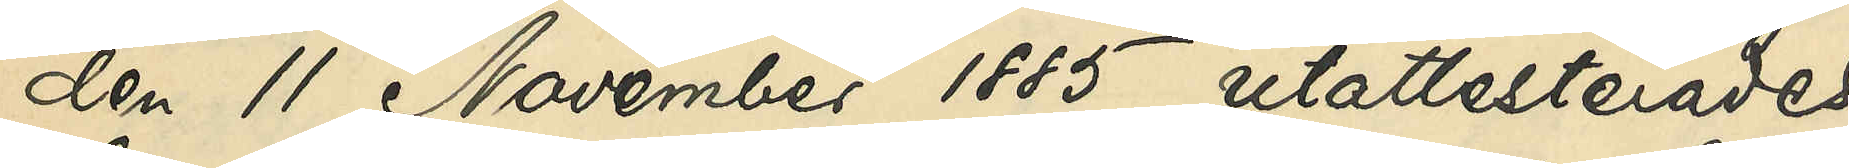den 11 November 1885 utattesterades
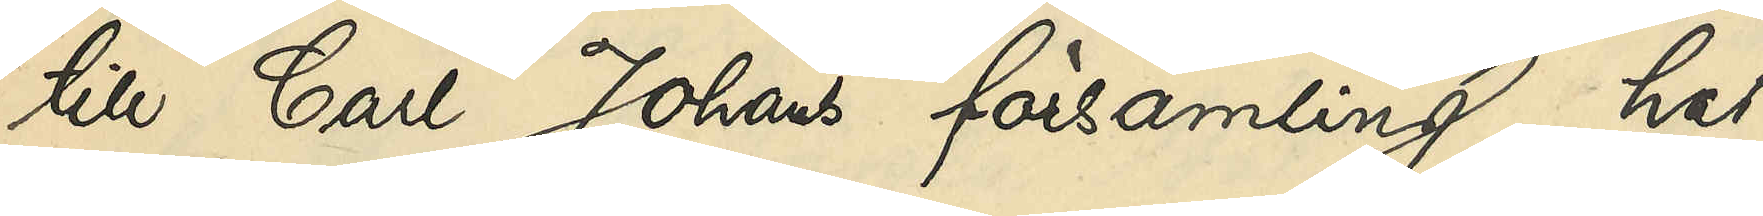till Carl Johans församling, har
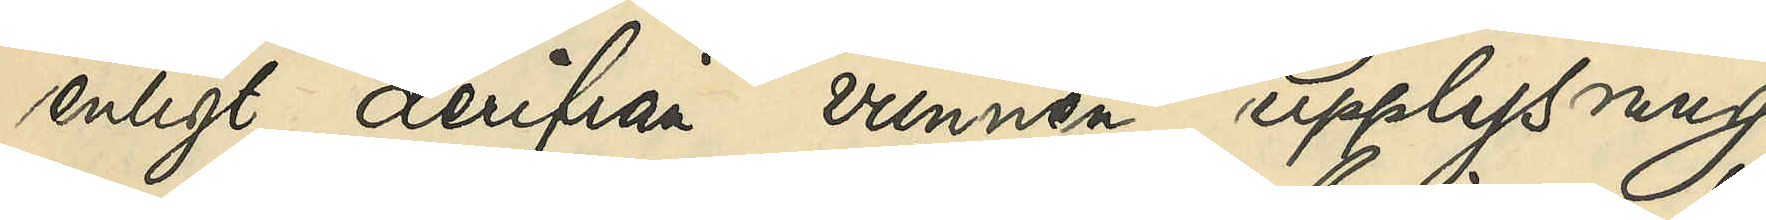enligt derifrån vunnen upplysning
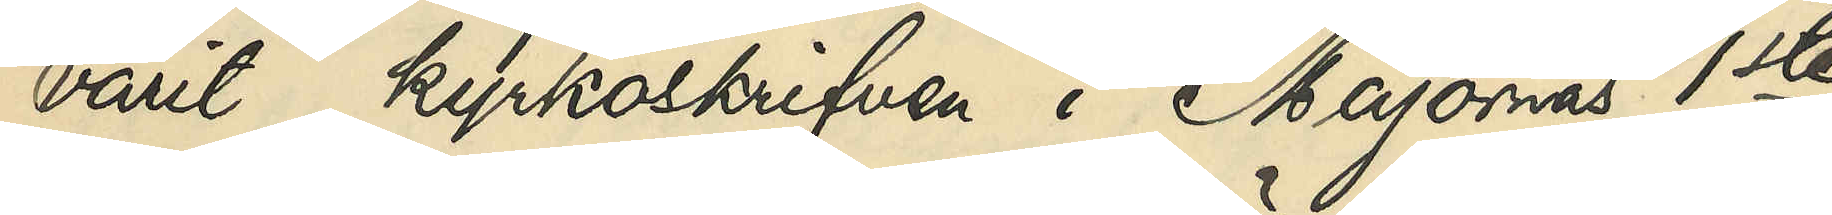varit kyrkoskrifven i Majornas 1ste
